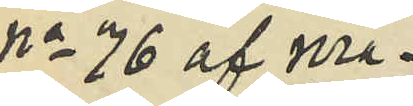No 76 af Ma¬
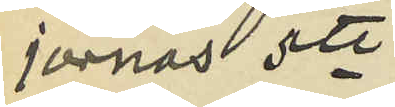jornas 5te
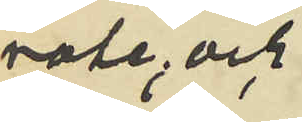rote, och
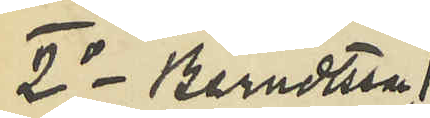2o Berndtsson
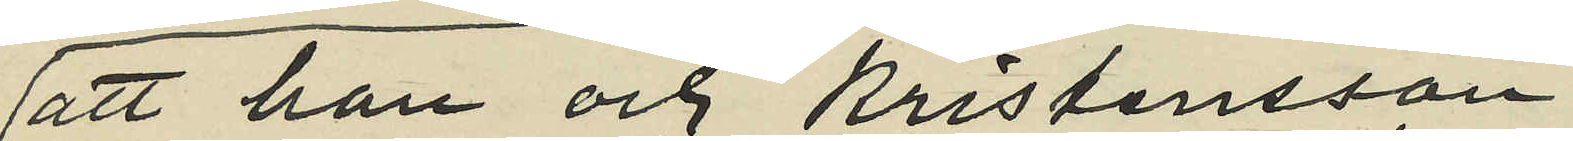att han och Kristensson
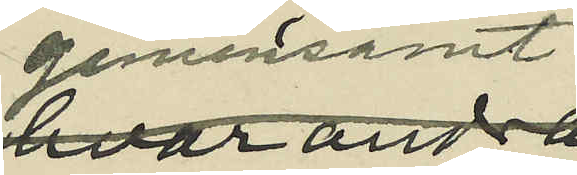gemensamt
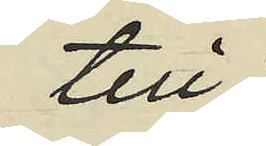till
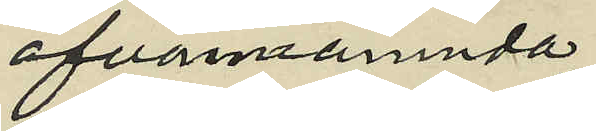ofvannämnda
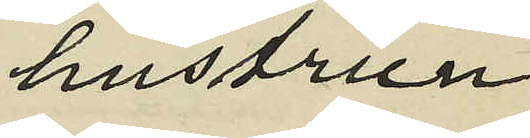hustrun
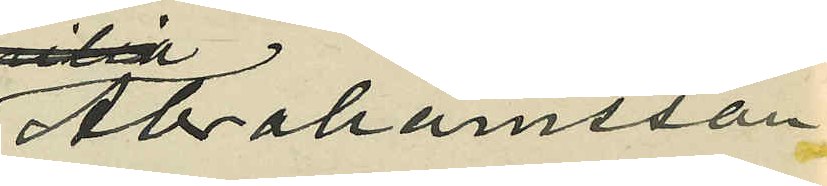Abrahamsson
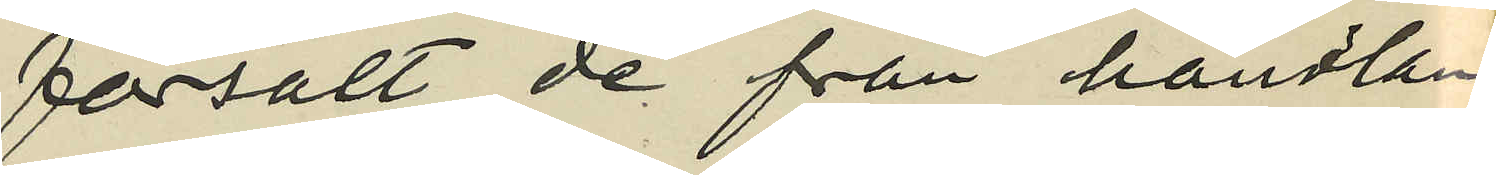försålt de från handlan¬
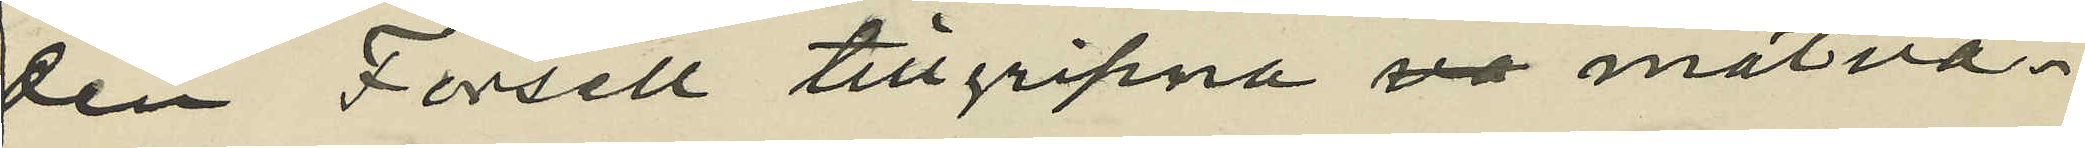den Forsell tillgripna va matva¬
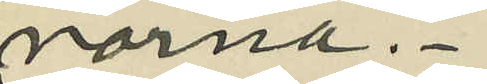norna.
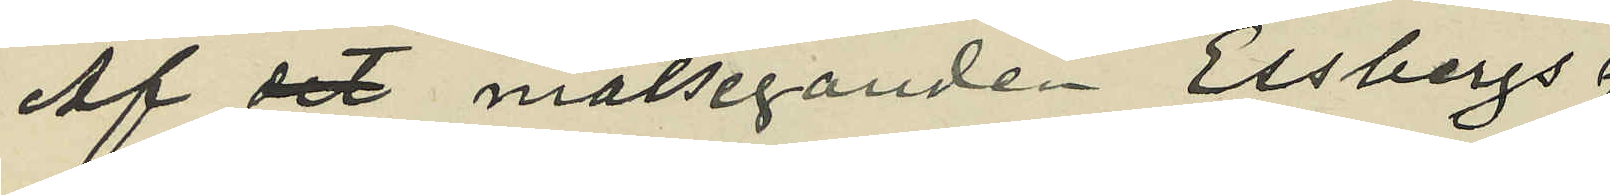Af det målseganden Essbergs
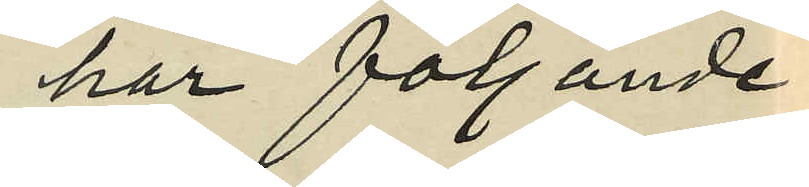har följande
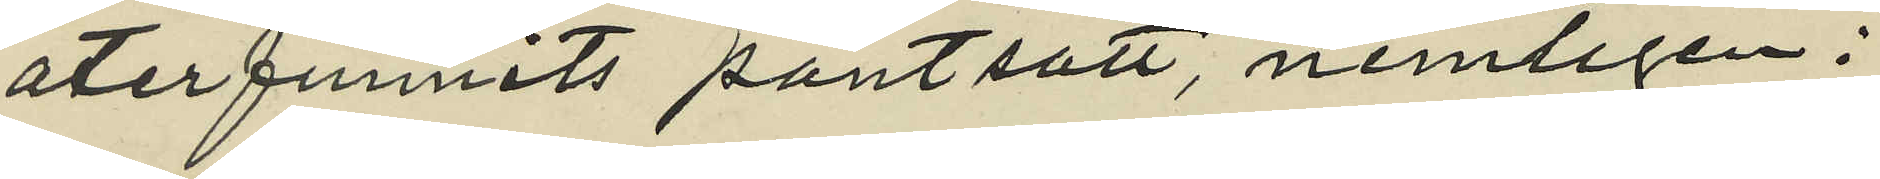återfunnits pantsatt, nemligen:
